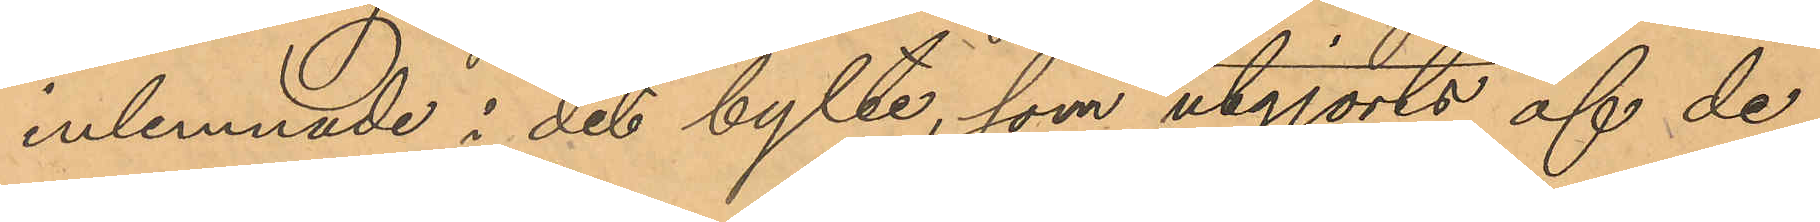inlemnade i det bylte, som utgjorts af de
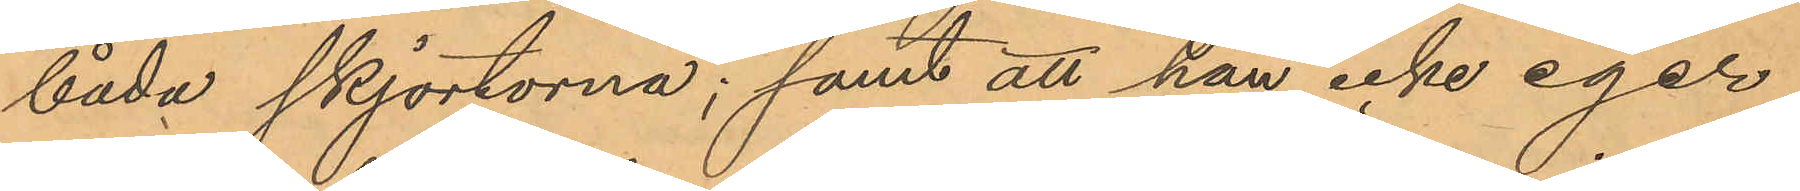båda skjortorna; samt att han icke eger
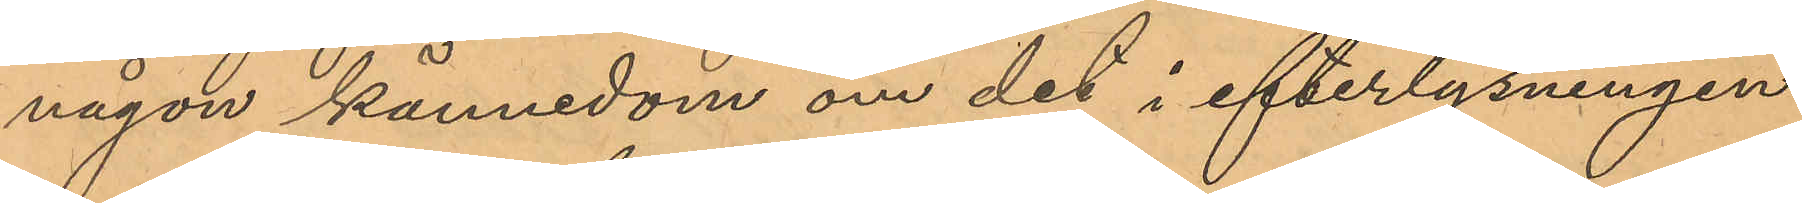någon kännedom om det i efterlysningen
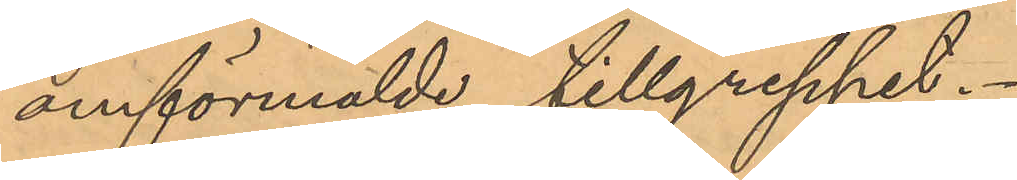omförmälde tillgreppet.
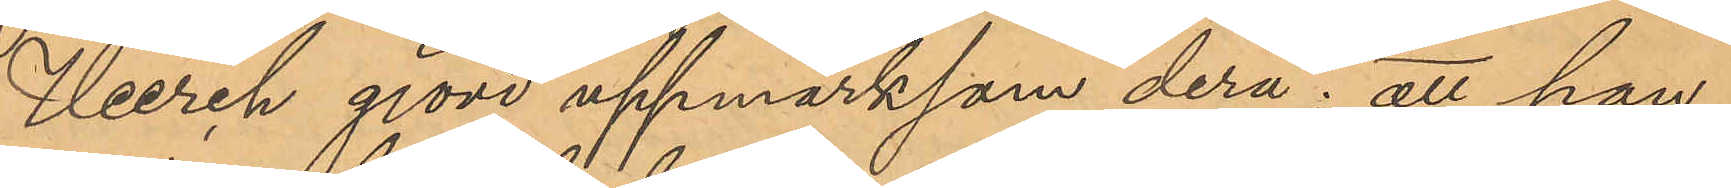Herch gjord uppmärksam derå; att han
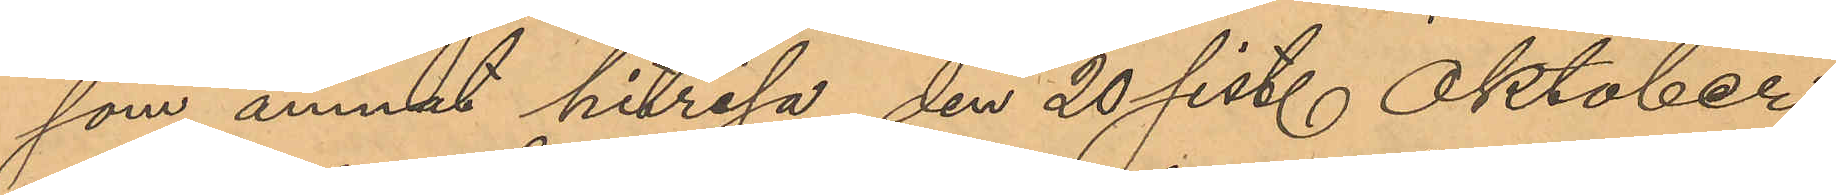som ämnat hitresa den 20 sist. Oktober,
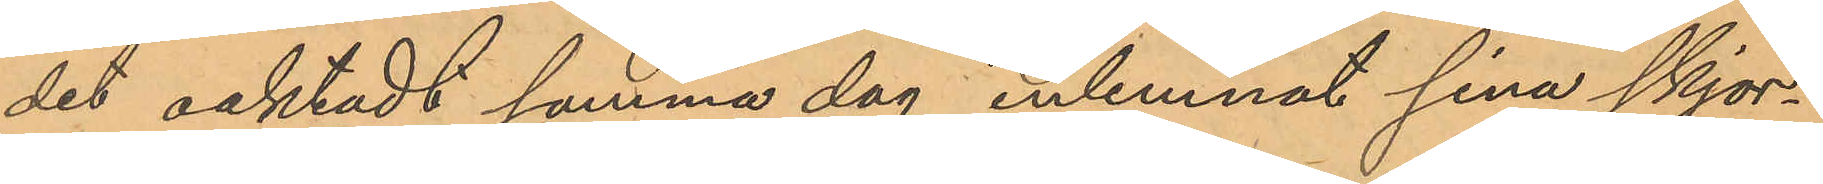det oaktadt samma dag inlemnat sina skjor¬
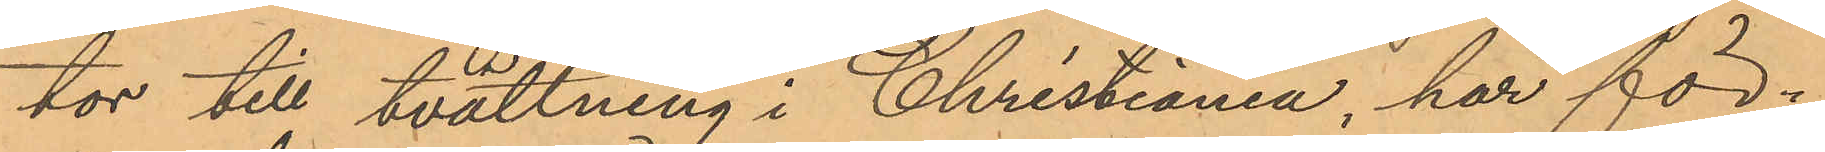tor till tvättning i Christiania har för¬
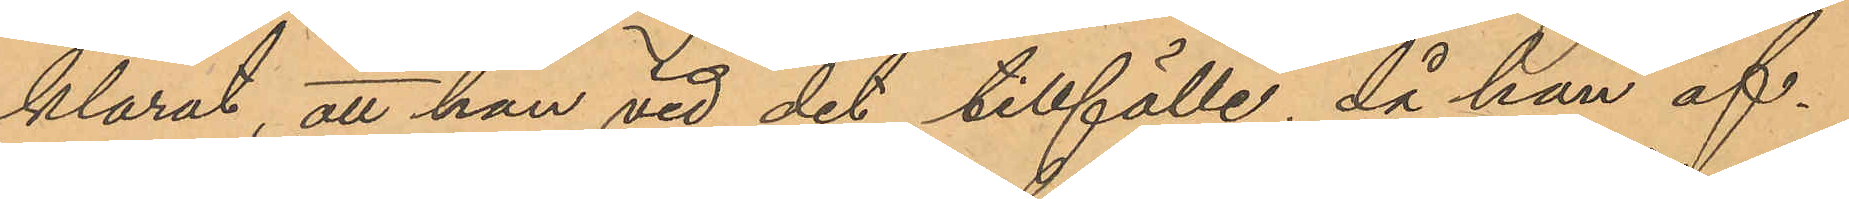klarat, att han vid det tillfälle, då han af¬
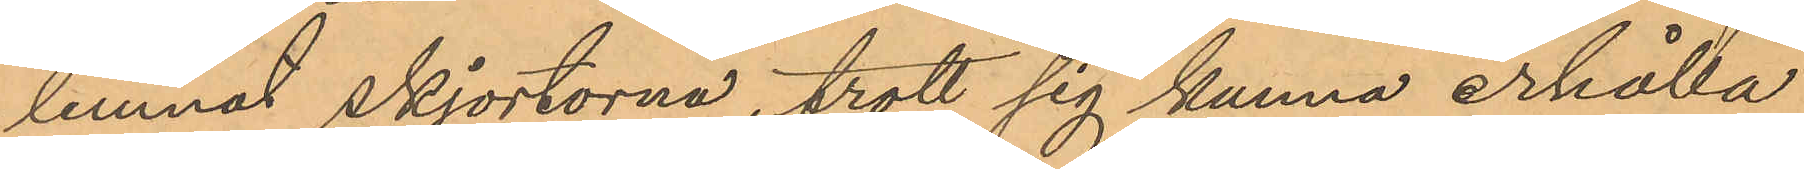lemnat skjortorna, trott sig kunna erhålla
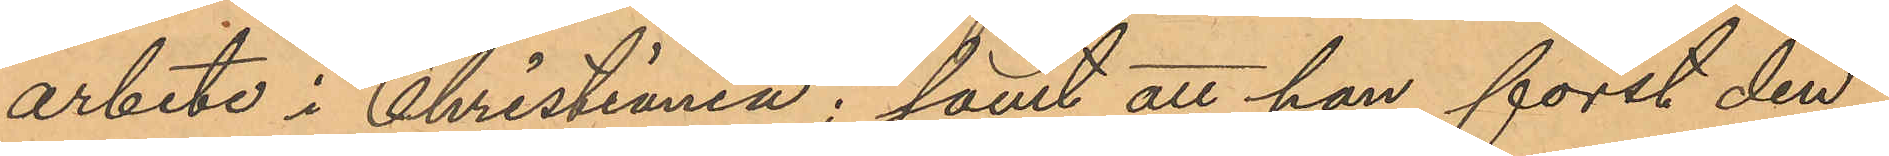arbete i Christiania; samt att han först den
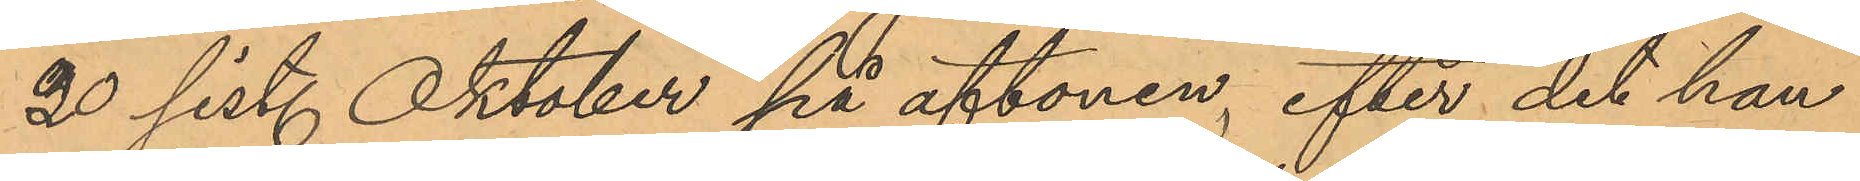20 sist. Oktober på aftonen, efter det han
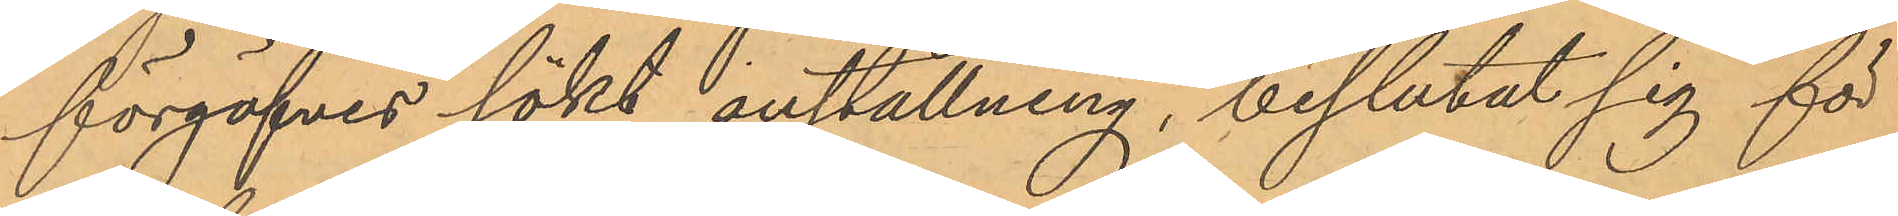förgäfves sökt anställning, beslutat sig för
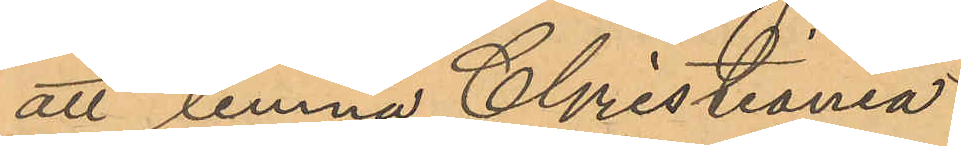att lemna Christiania.
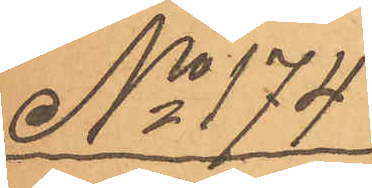No 174
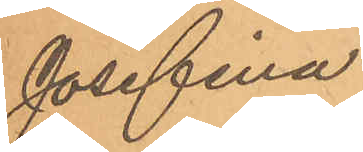Josefina
